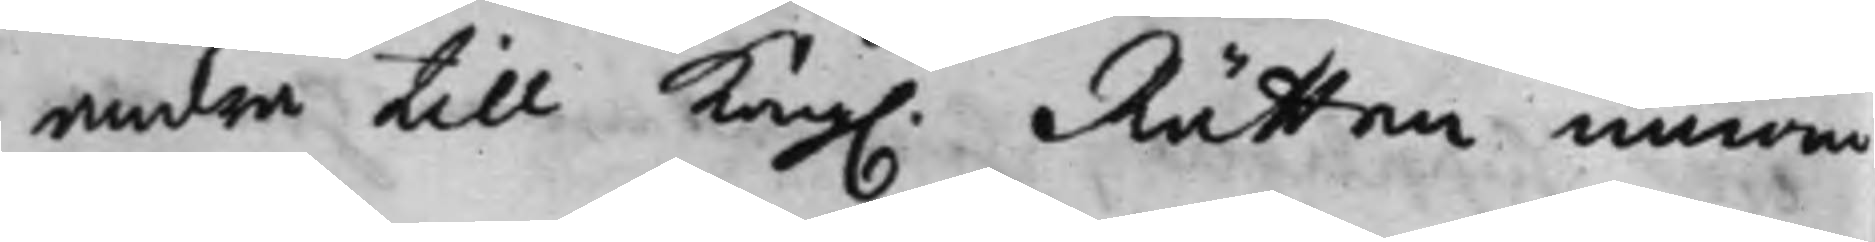andra till Kong. Rätten innom
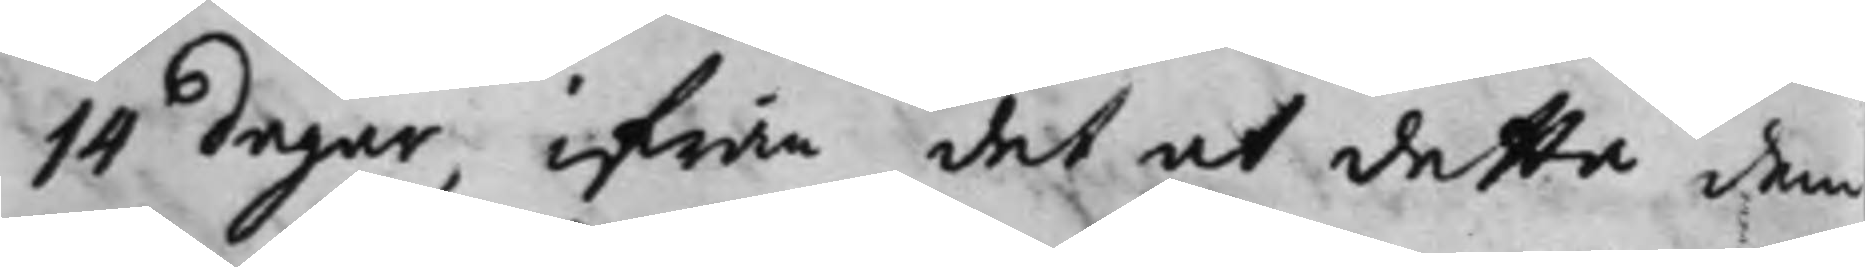14 dagar, ifrån det at detta dem
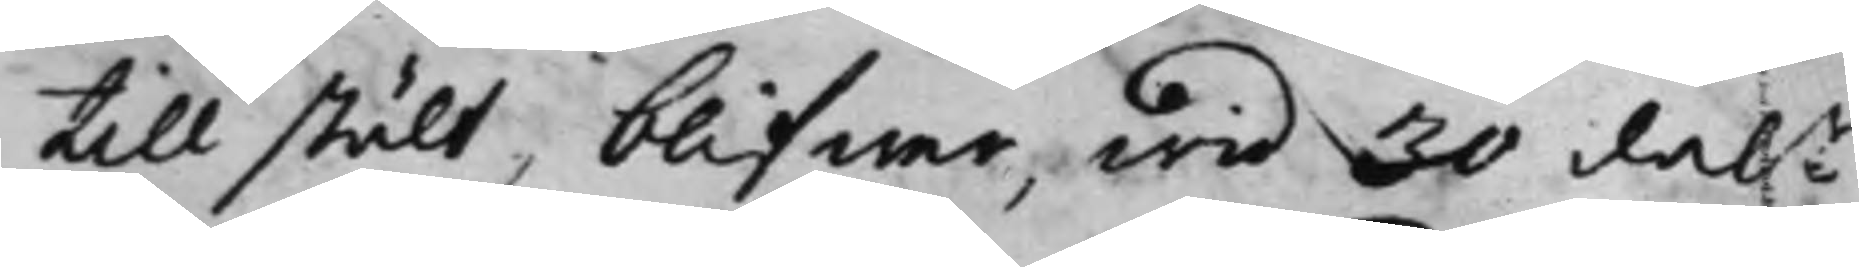till stält, blifwer, wid 30 dal:r
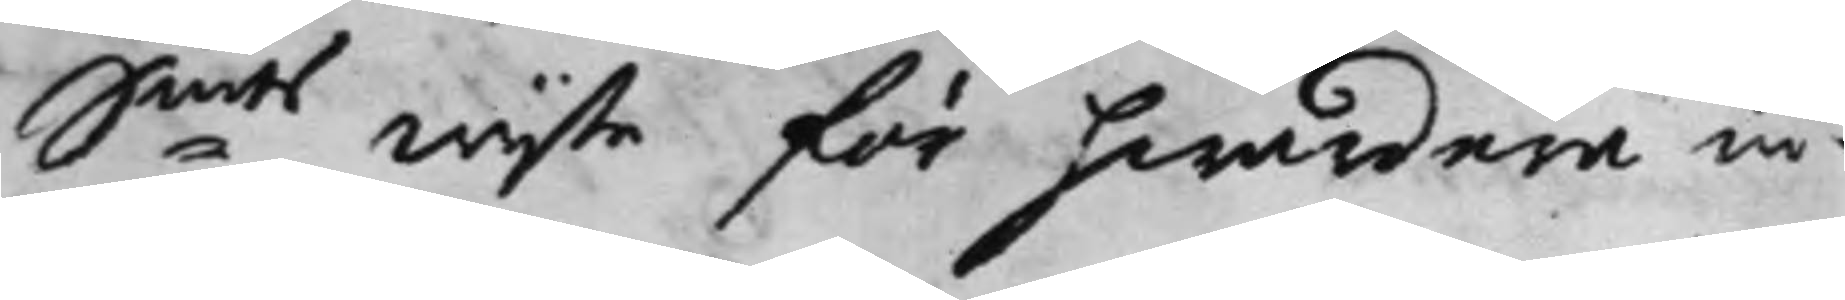S:mts wijte för hwardera in¬
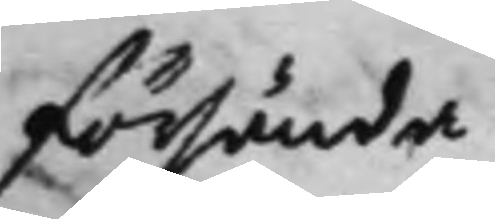försända.
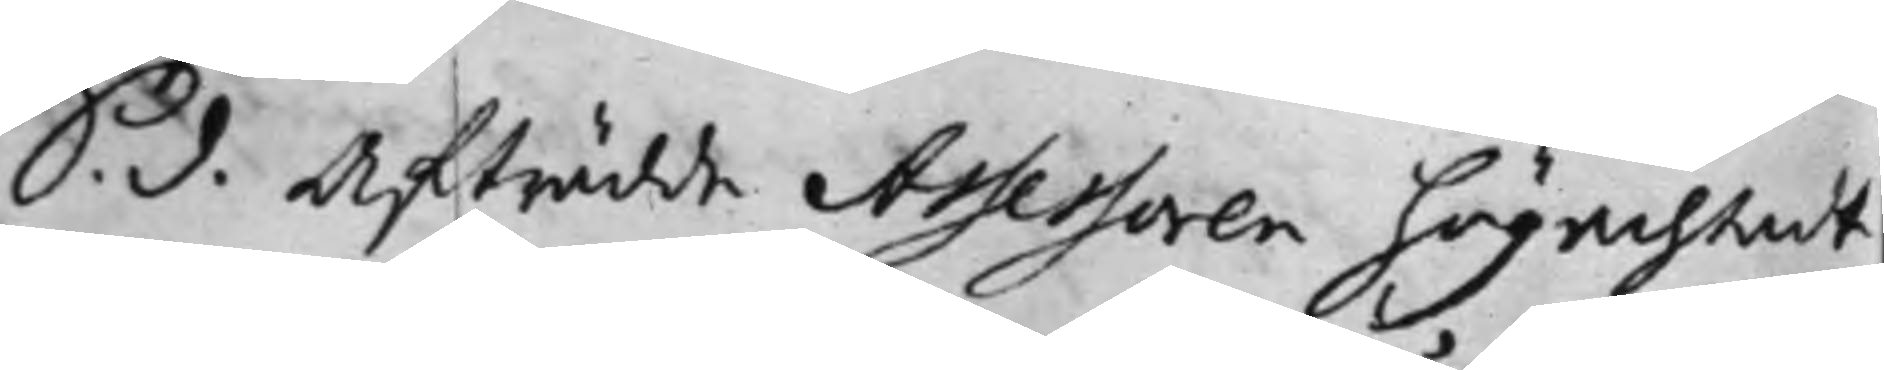S. d. Afträdde Assessoren högachtadt
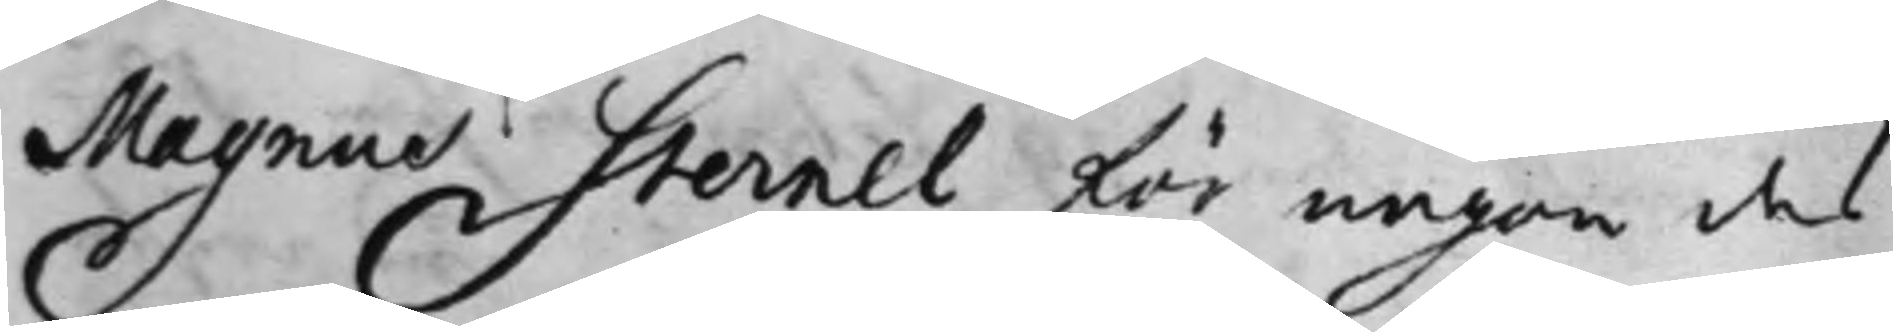Magnus Sternel för någon des
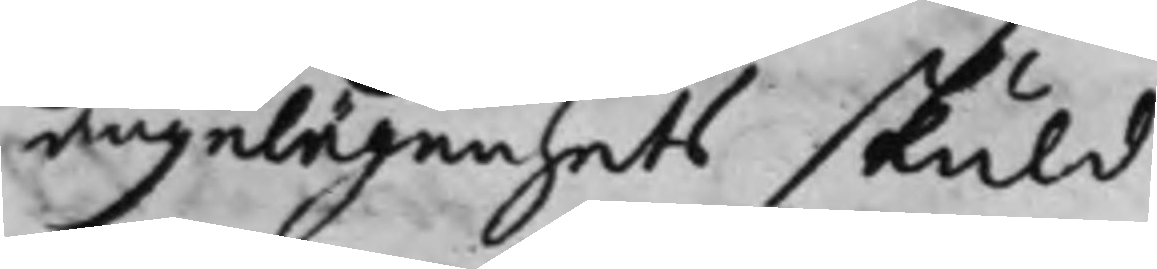angelägenhets skuld.
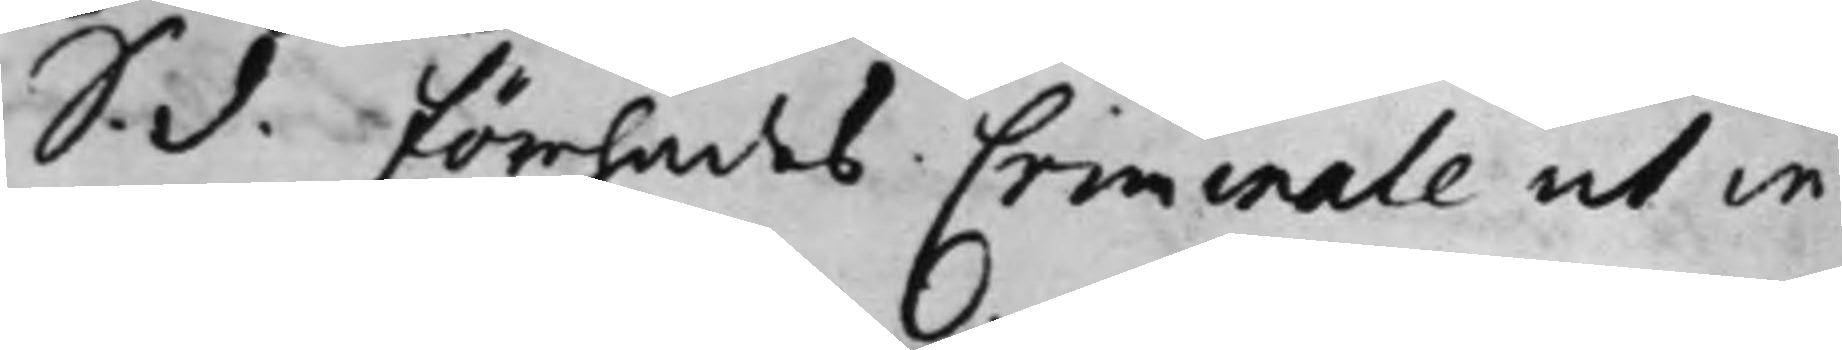S. d. förehades Criminale et in
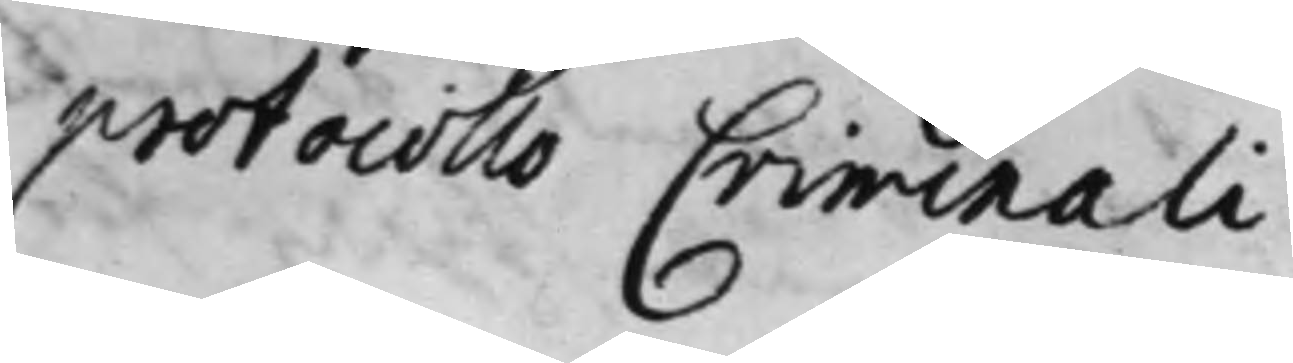protocollo Criminali
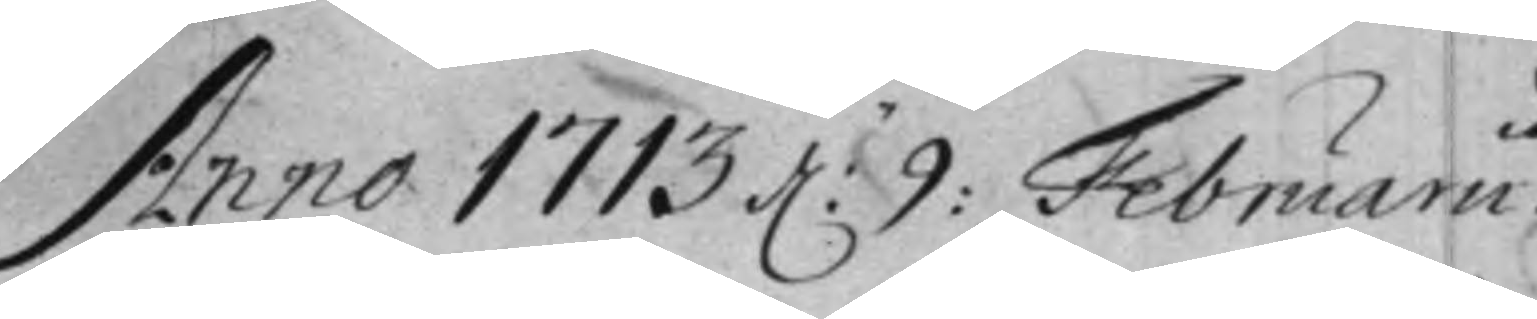Anno 1713 d: 9: Februarii.
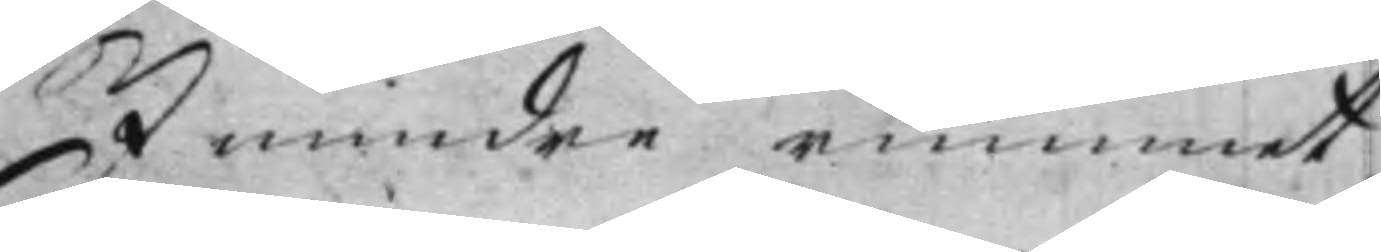I mindre rummet
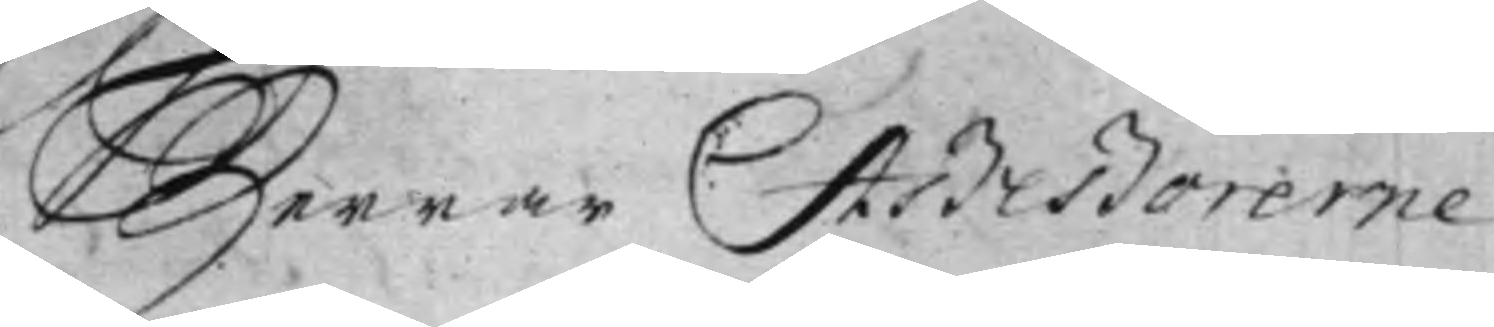Herrar Aßeßorerne
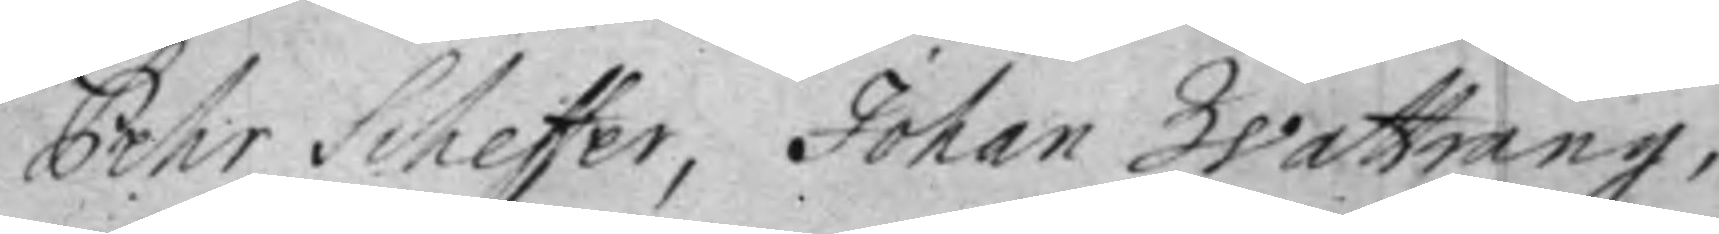Pehr Scheffer, Johan Wattrang,
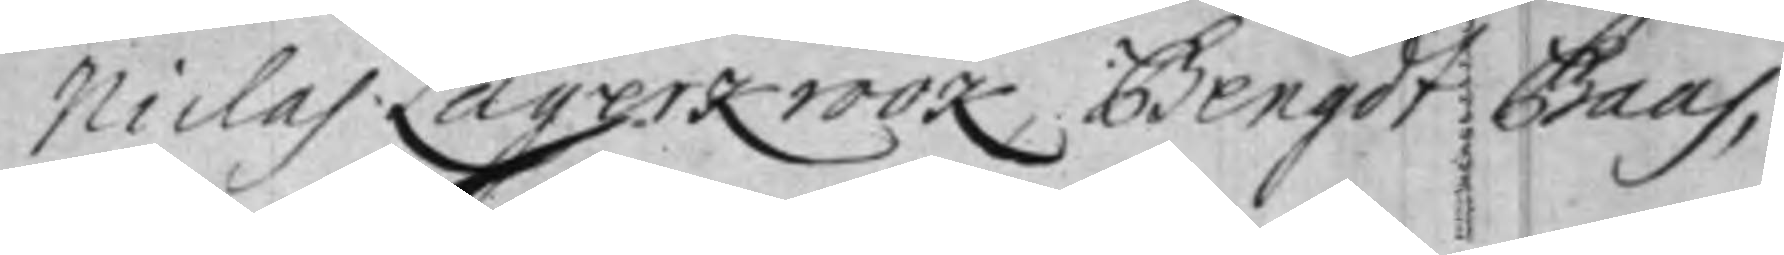Niclas Lagerkrook, Bengdt Baas,
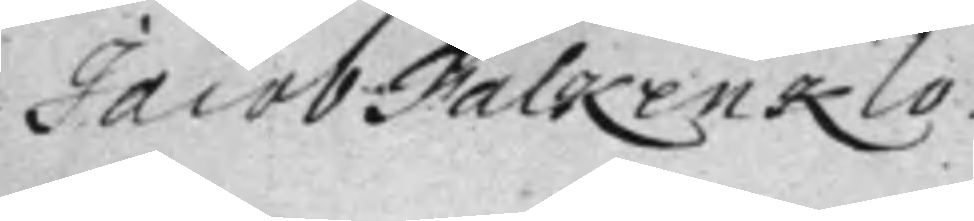Jacob Falkenklo.
